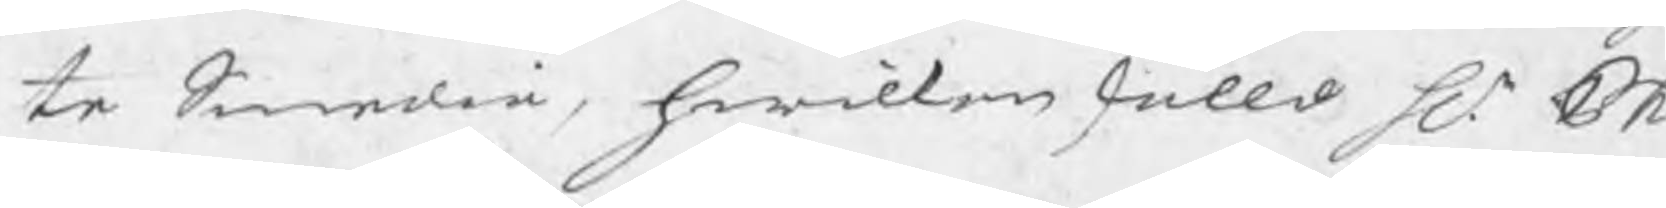te Smedia, hwilken skulld Hr Phi
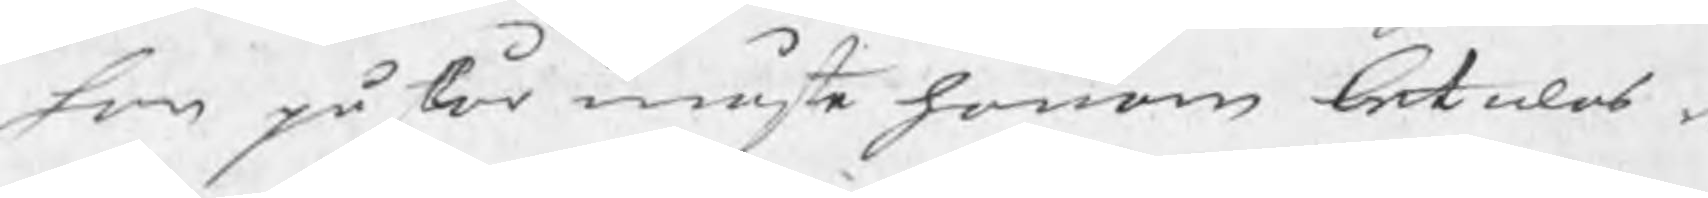son påstår måste honom betalas m
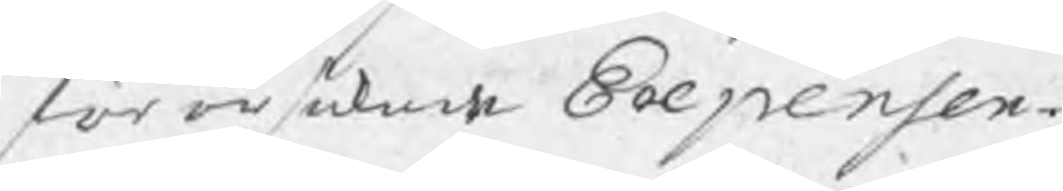förorsakade Expenser.
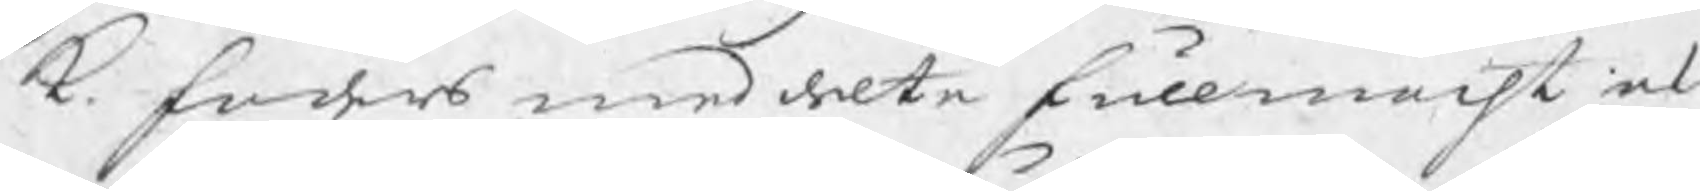k. faders meddelte fullmacht af d.
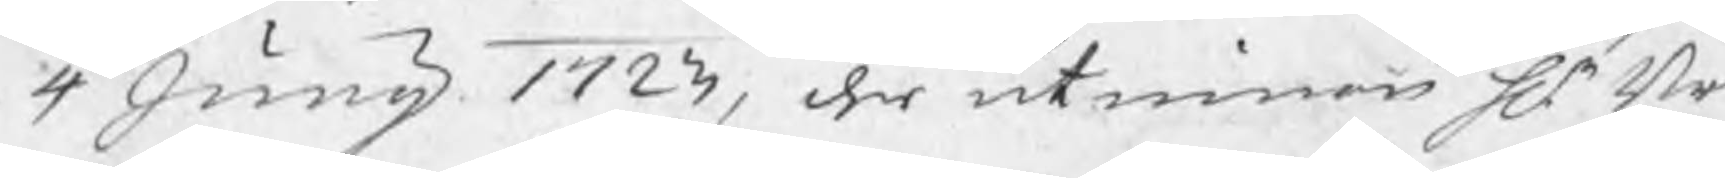4 Junij 1723, der utinnan Hr   Br
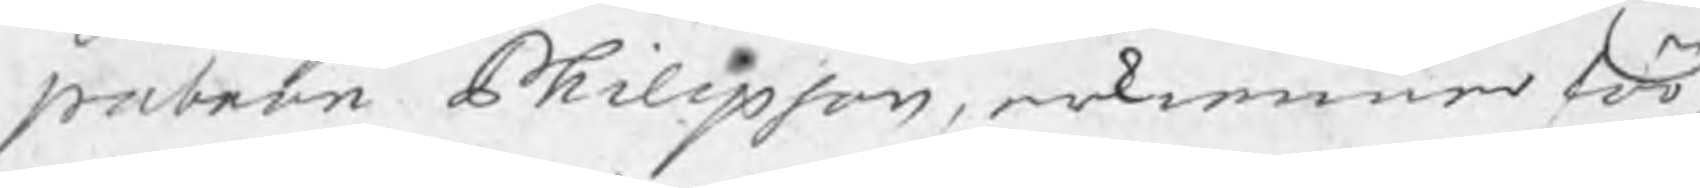patron Philipson, erkenner för
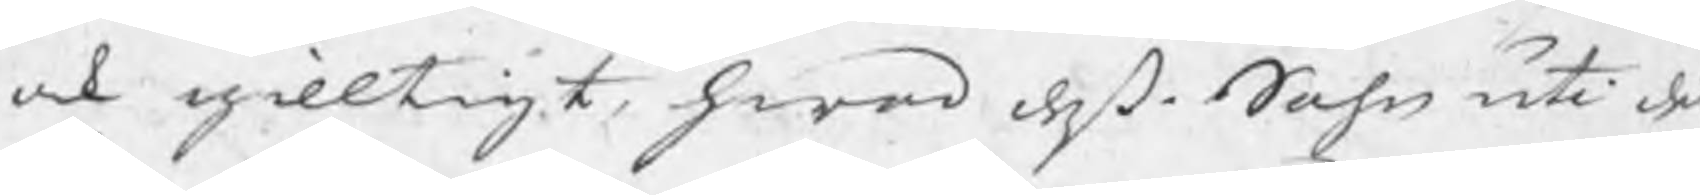ock gilltigt, hwad deß Sohn uti den
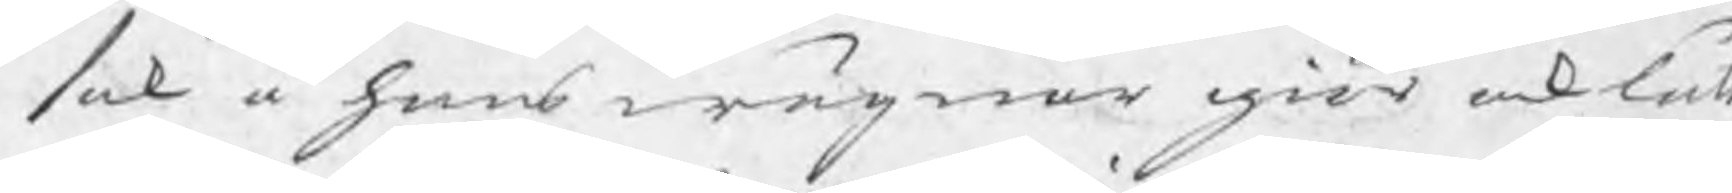sak å hans wägnar giör och låt
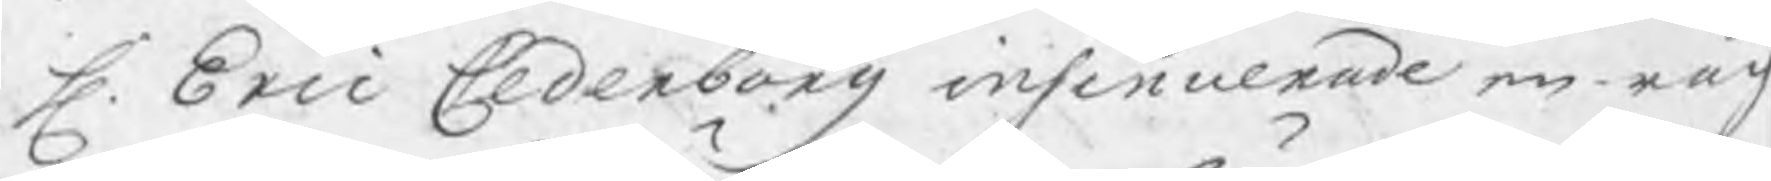H. Eric Cederborg insinuerade en räch
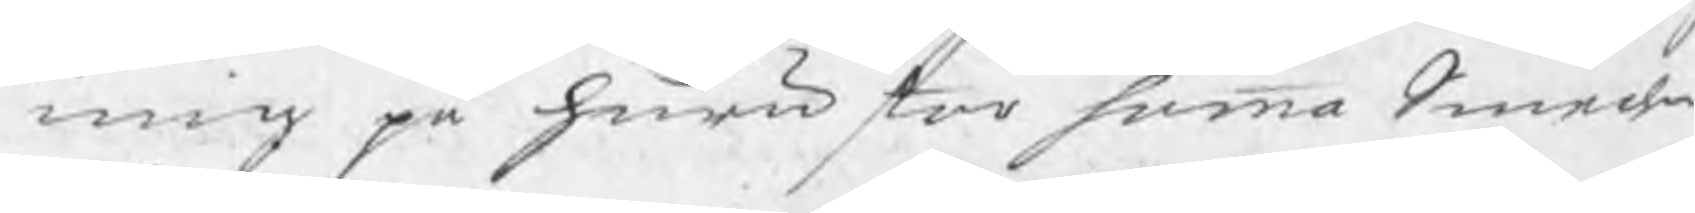ning på huru stor summa Smeden
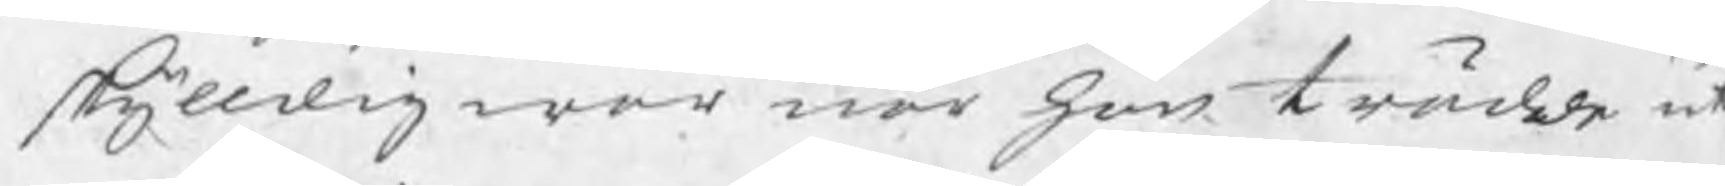skylldig war när han trädde ut
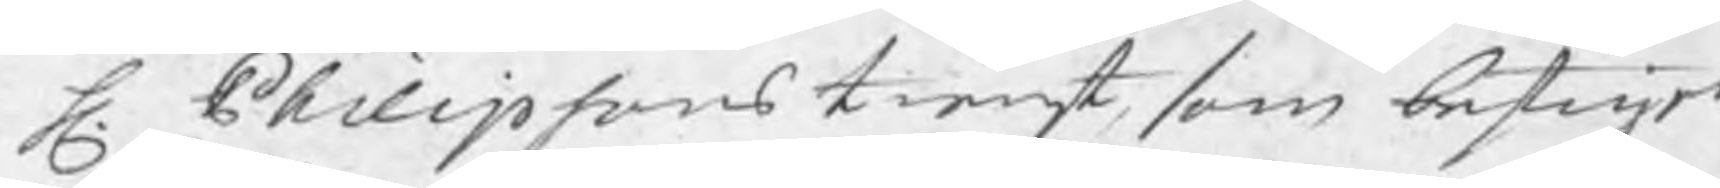H. Philipsons tienst, som bestiger
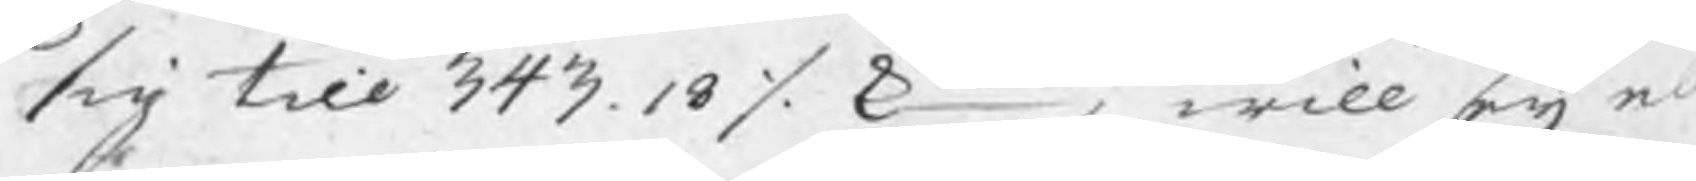sig till 343.18 ./. Smt, will eij n
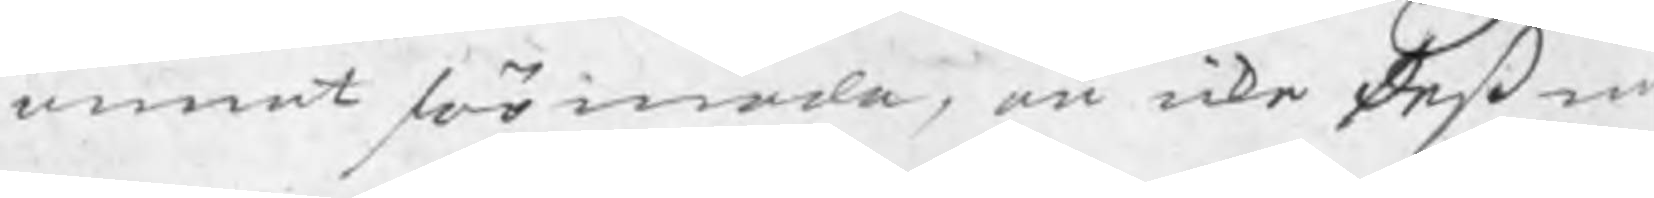annat förmoda, än icke deß m
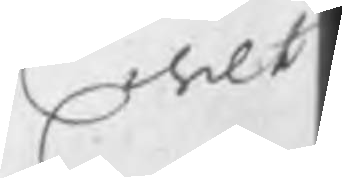delte
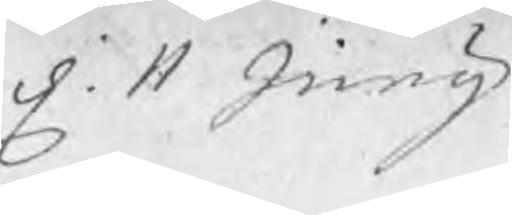d. 11 Junij
